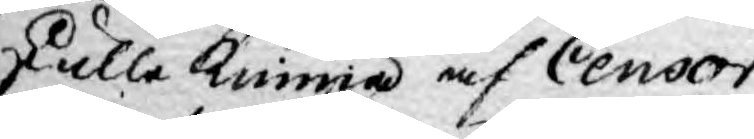skulle kunna af Censor
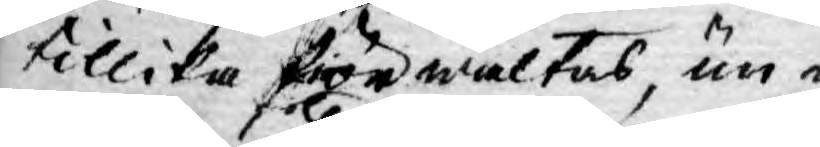tillika frörwaltas, un¬
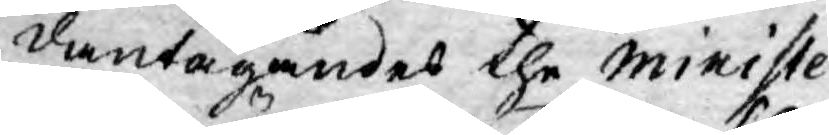dantagandes the Ministe¬
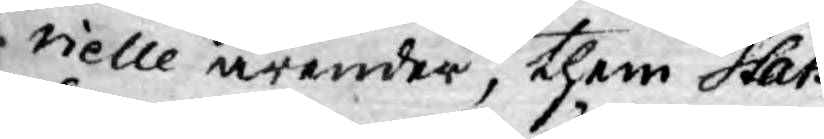rielle ärender, them Stats
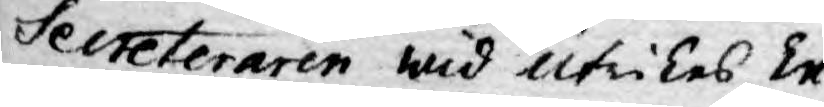Secteteraren wid utrikes Ex¬
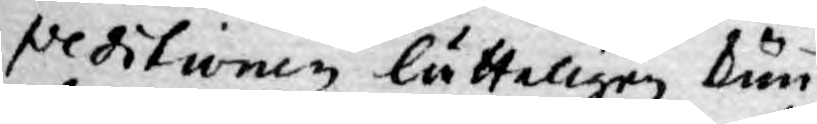peditionen lätteligen kun¬
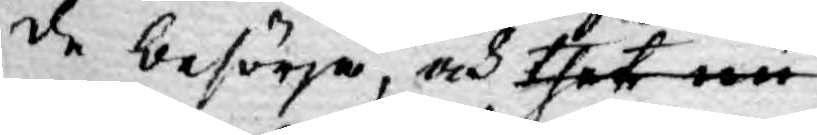de besörja, och thet nu¬
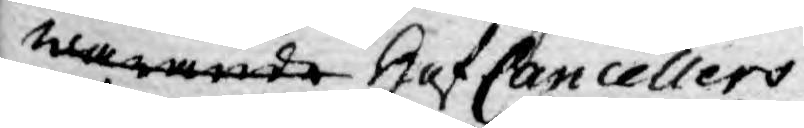warande Hof Cancellers
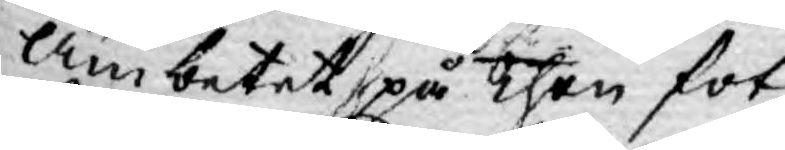Ämbetet, på then fot
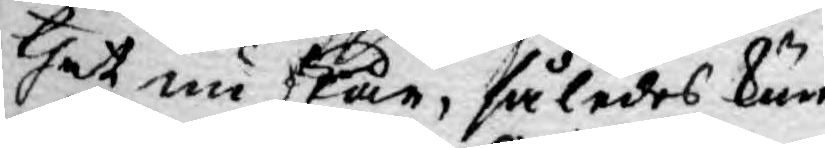thet nu står, således kun¬
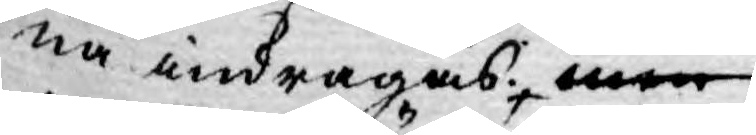na indragas. men
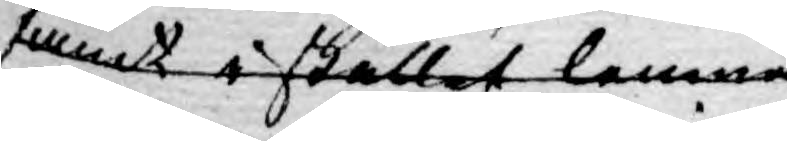fant istället lemna
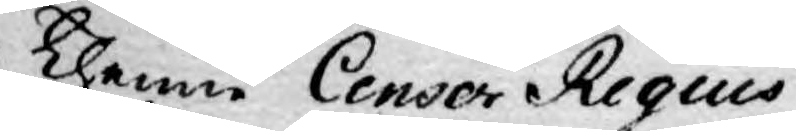Thenne Censor Regius
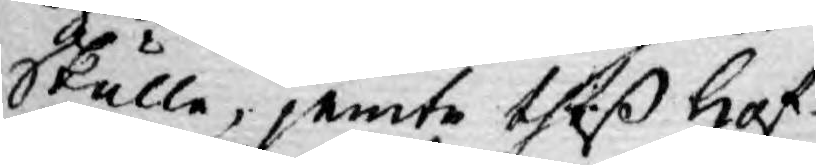skulle, jemte theß Hof¬
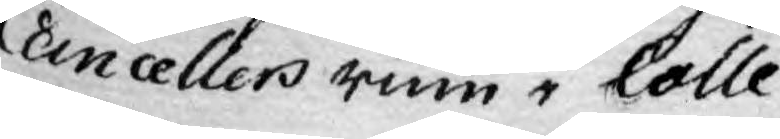Cancellers rum i Colle¬
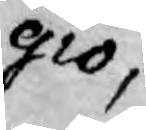gio,
